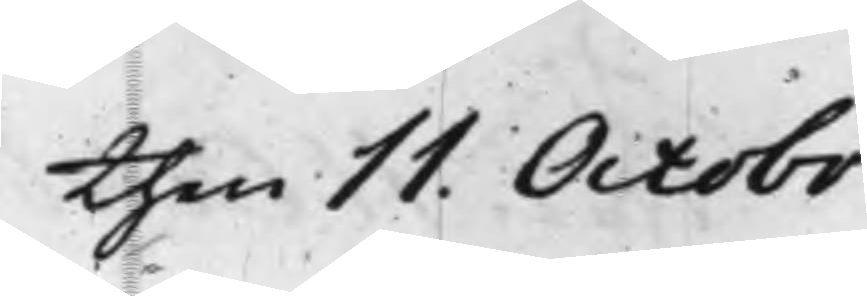then 11. Octobr
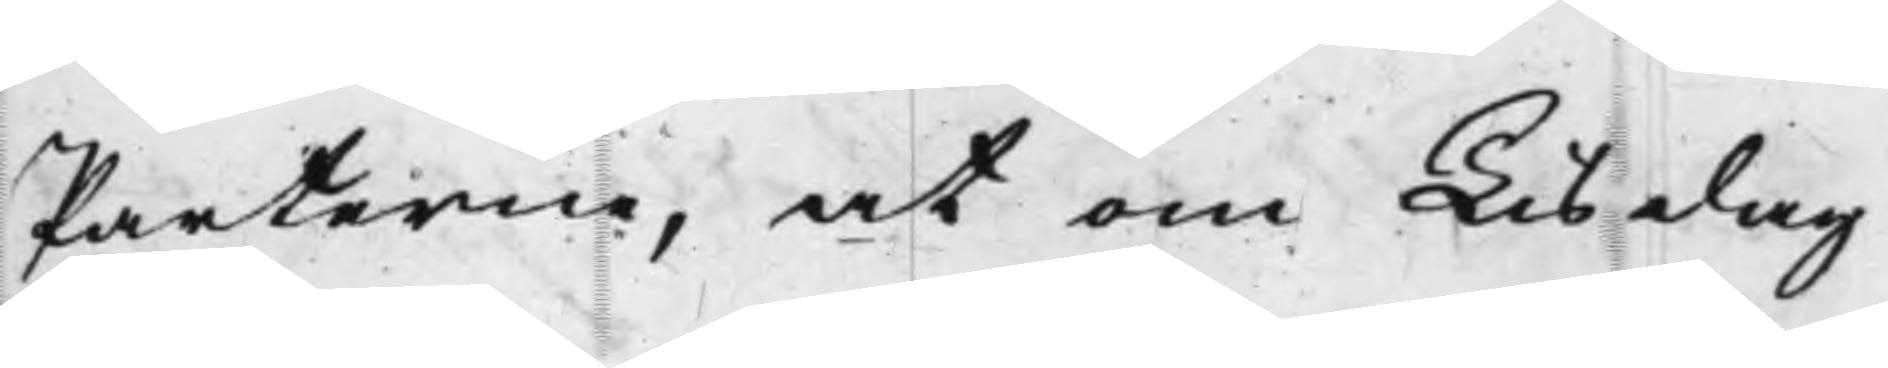Parterne, at om Tisdag
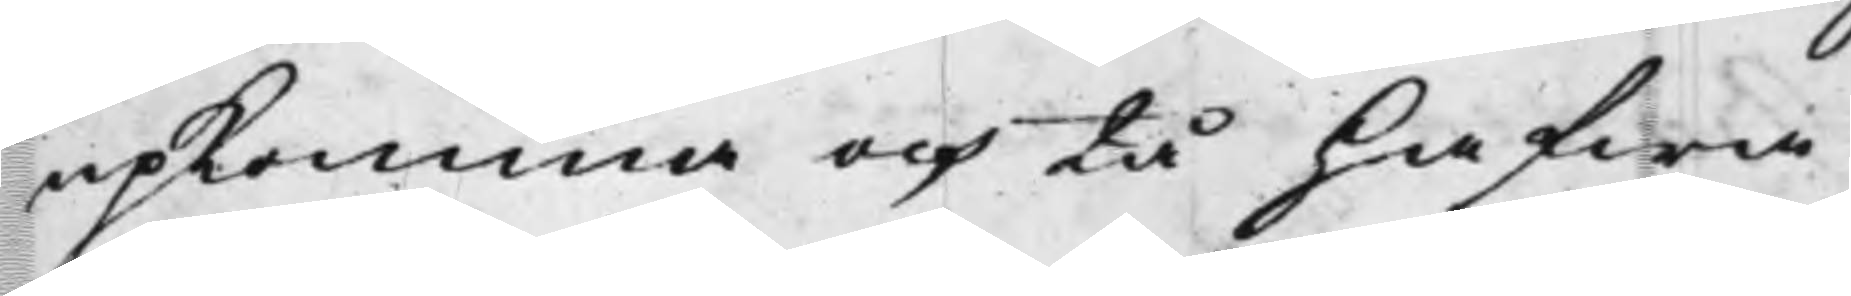upkomma och tå hafwa
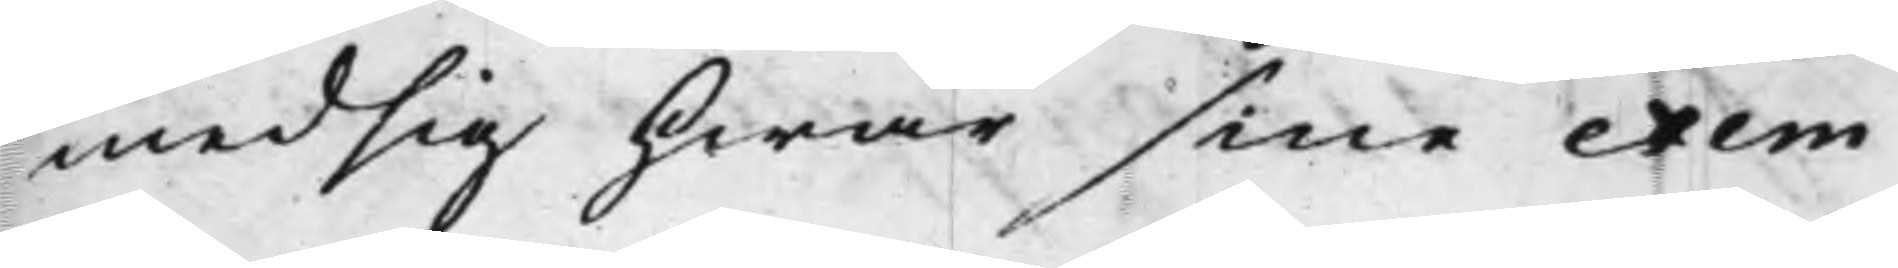med sig hwar sine exem¬
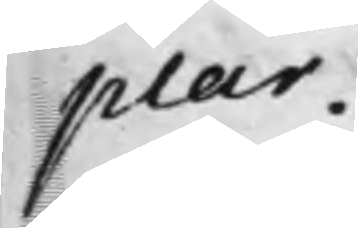plar.
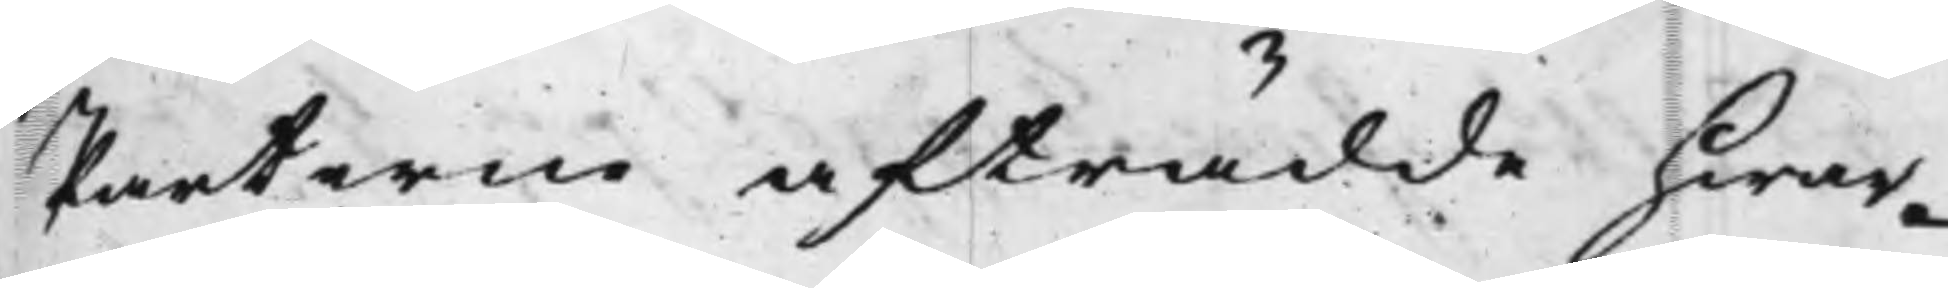Parterne afträdde hwar¬
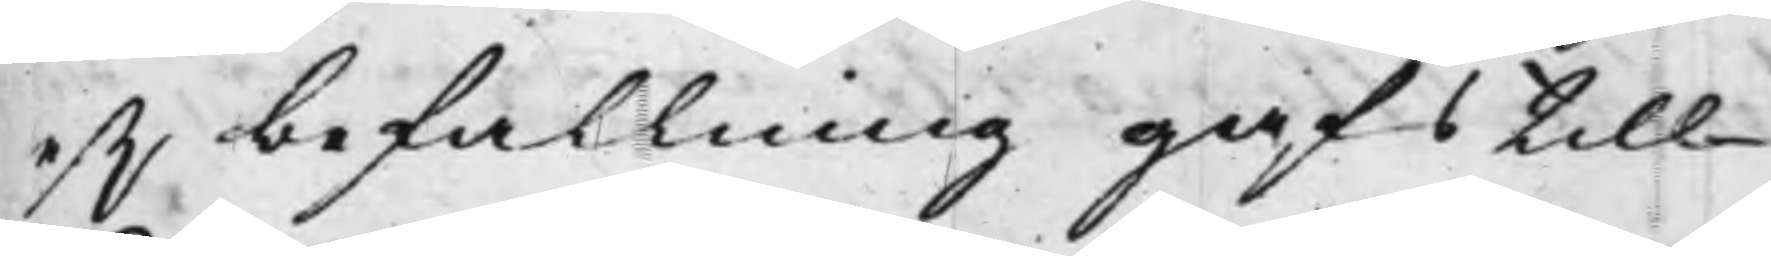ef,r befallning gafs till
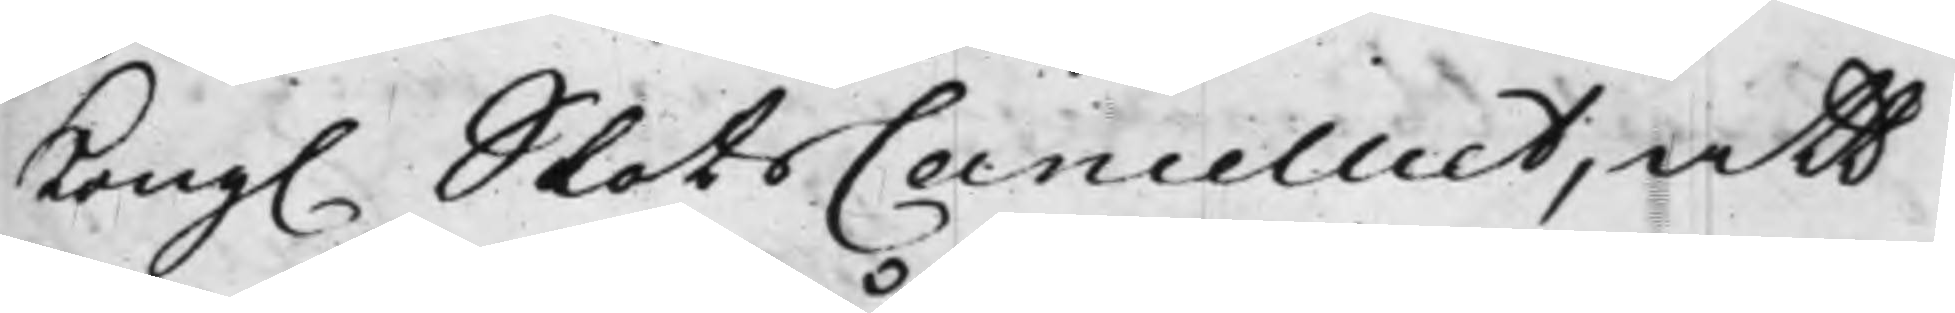Kong. SlotsCancelliet, att
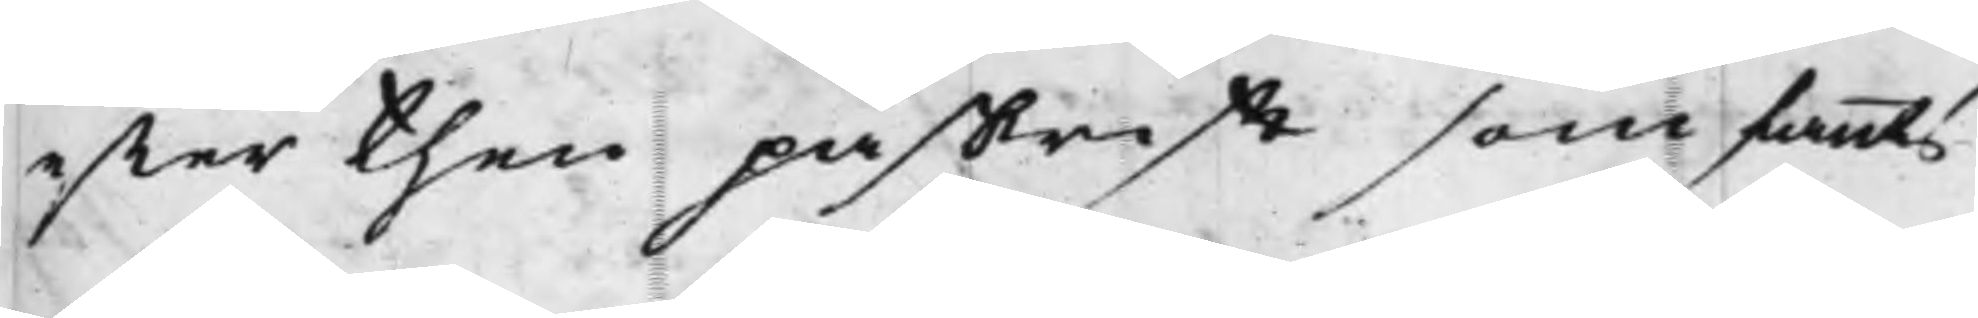efter then påskrifft som fants
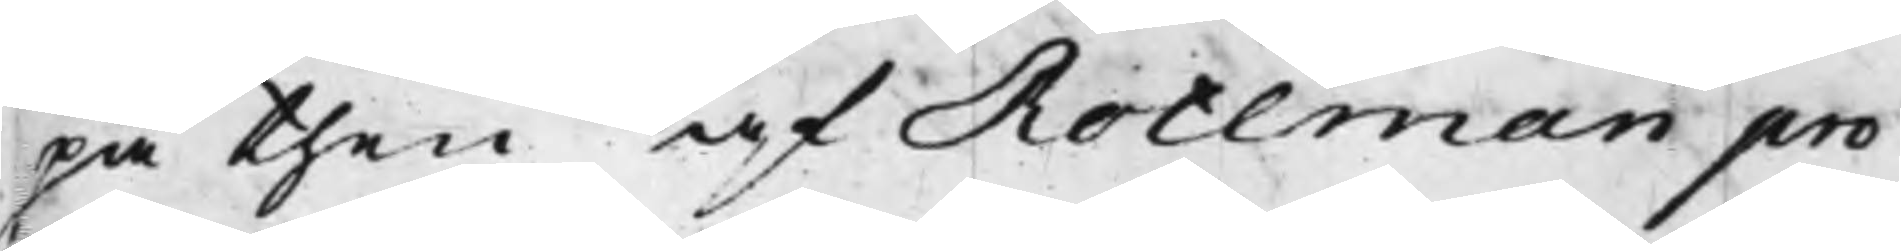på then af Rothman pro¬
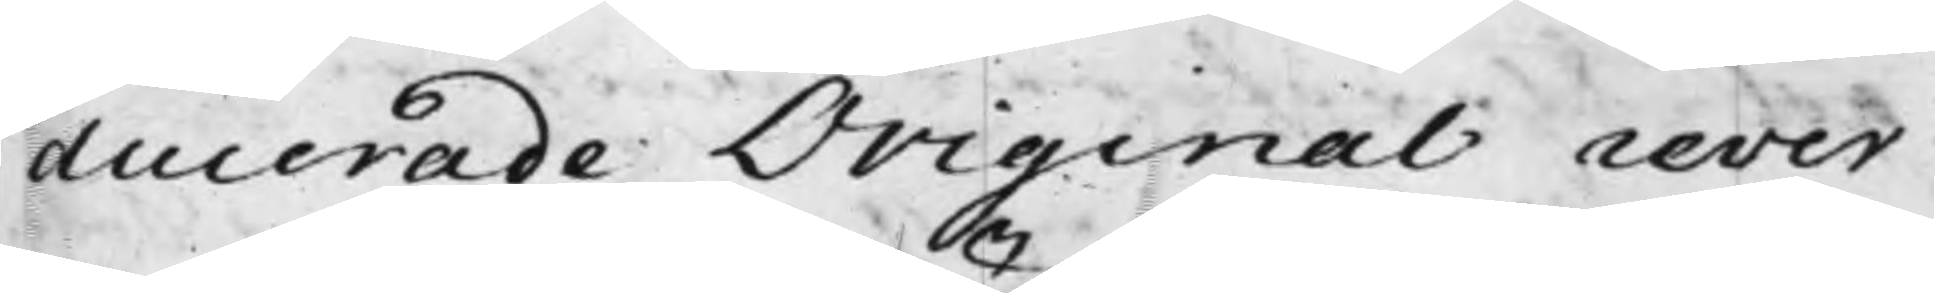ducerade Original rever¬
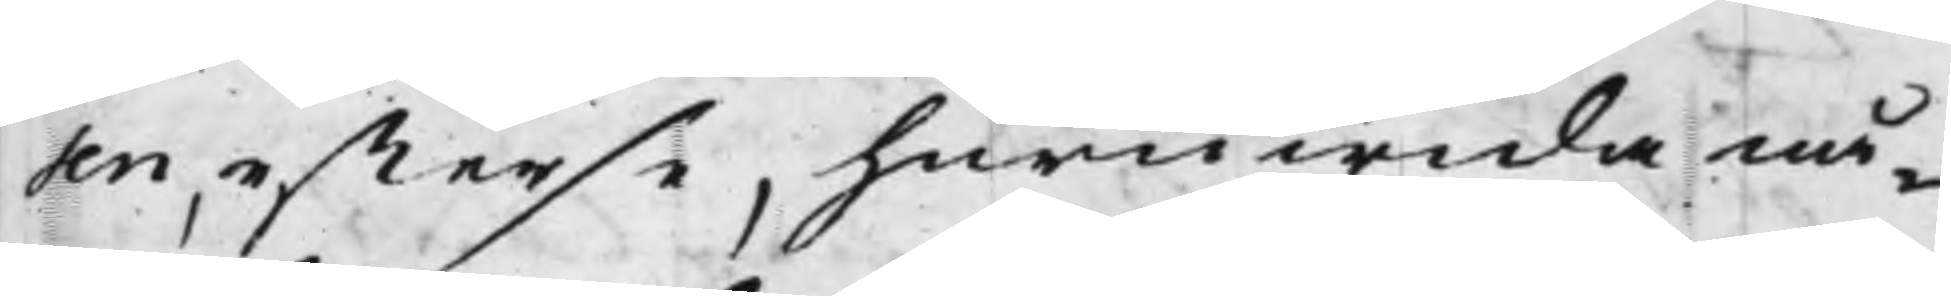sen, efterse, huruwida nå¬
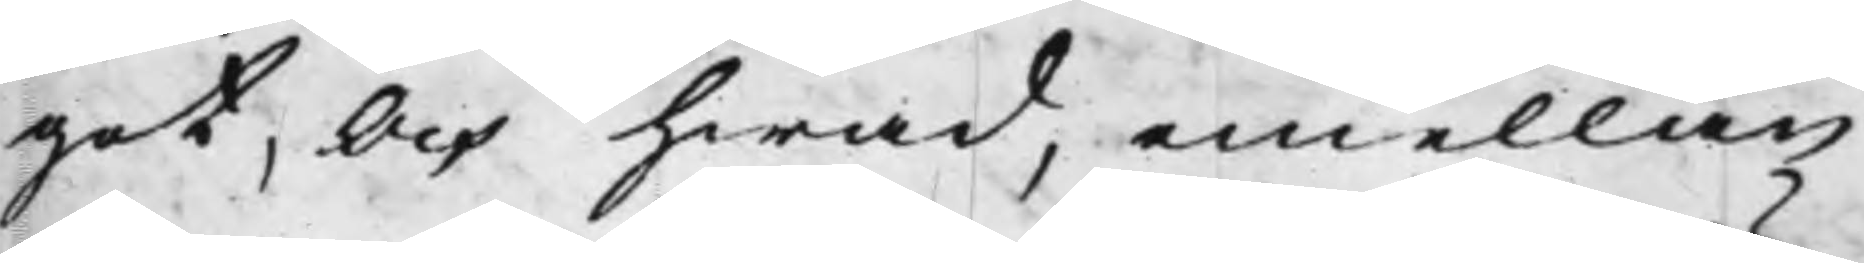got, Och hwad, emellan
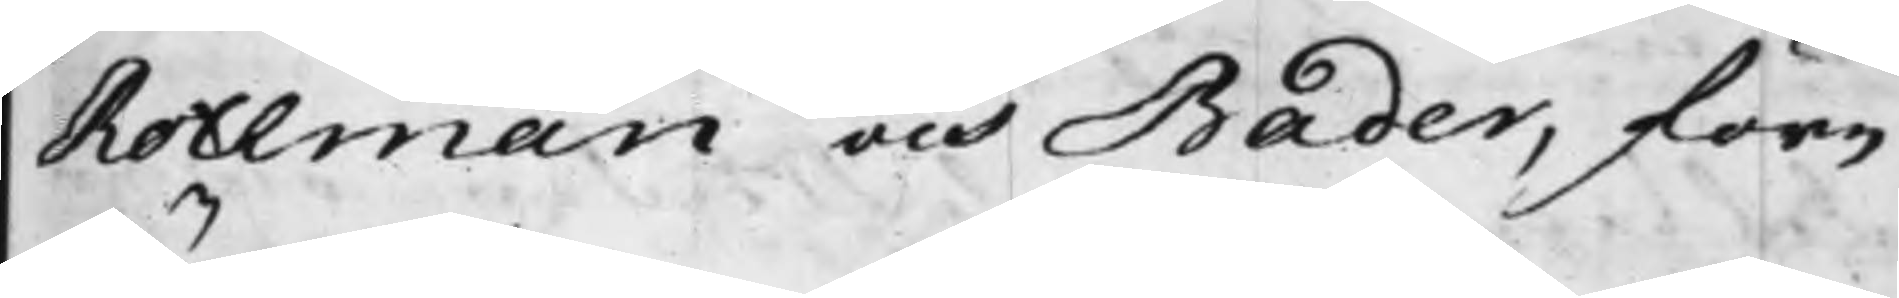Rothman och Bader, före¬
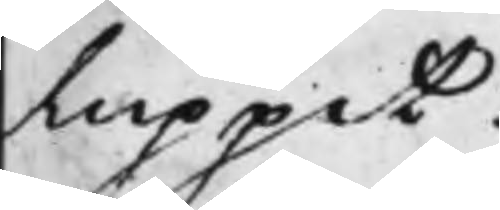luppit.
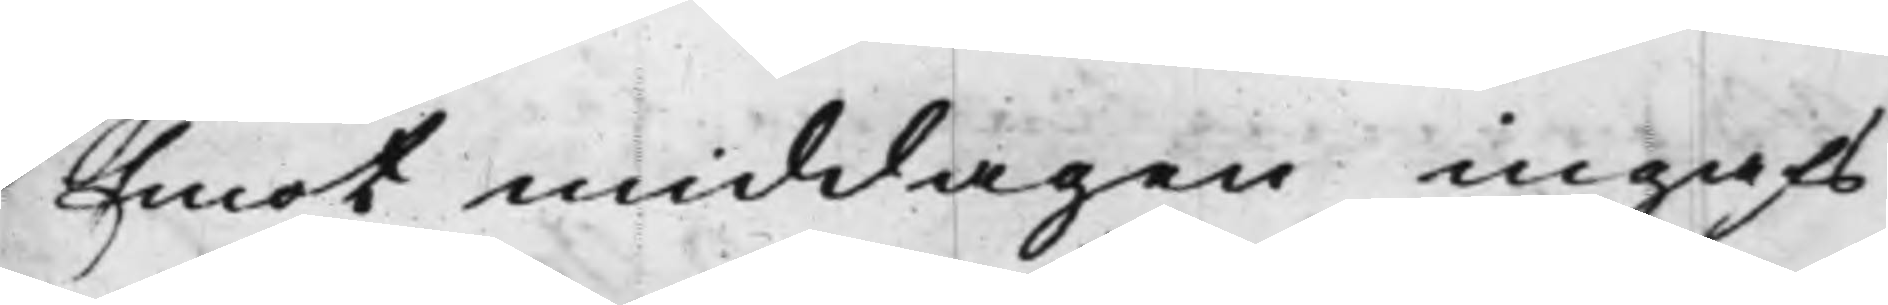Emot middagen ingafs
